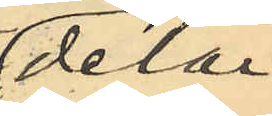delar
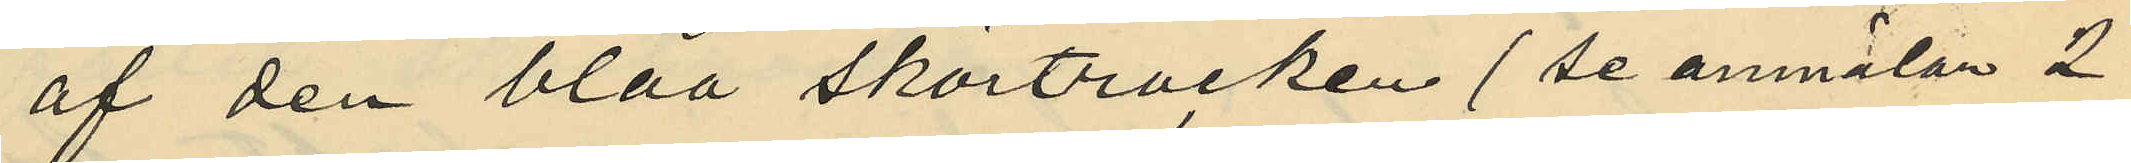af den blåa skörtrocken (se anmälan 2
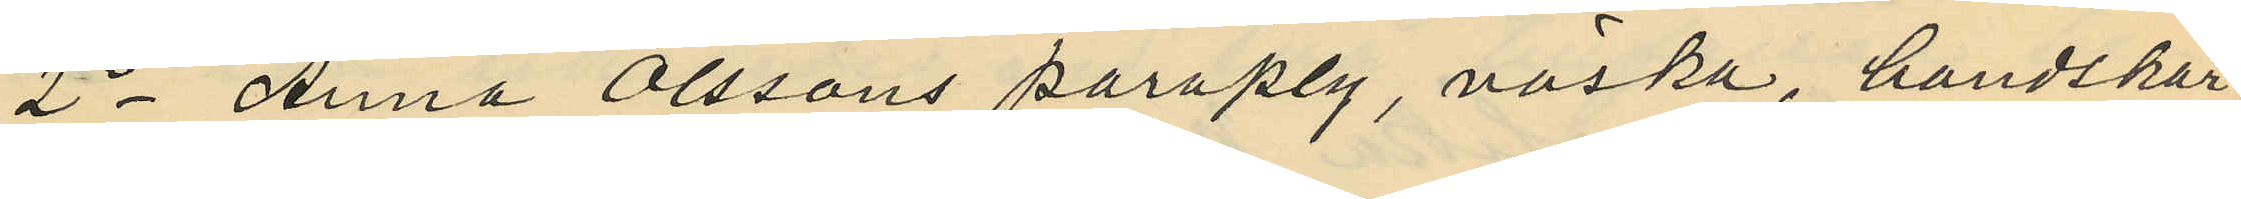2o Anna Olssons paraply, väska, handskar
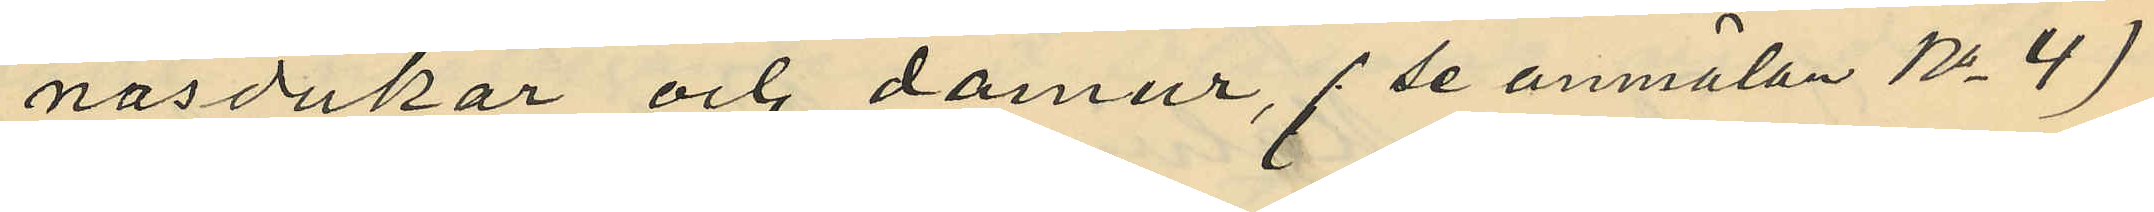näsdukar och damur, (se anmälan No 4)
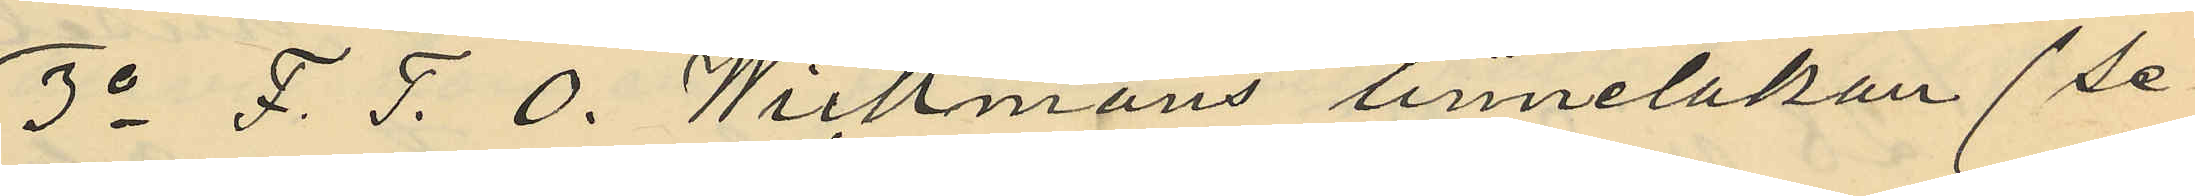3o F. J. O. Wickmans linnelakan (se
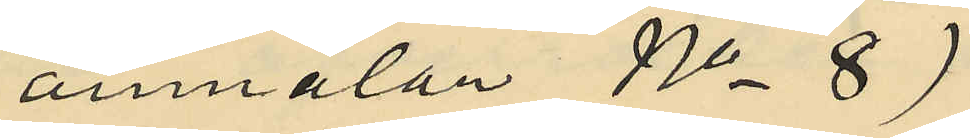anmälan No 8)
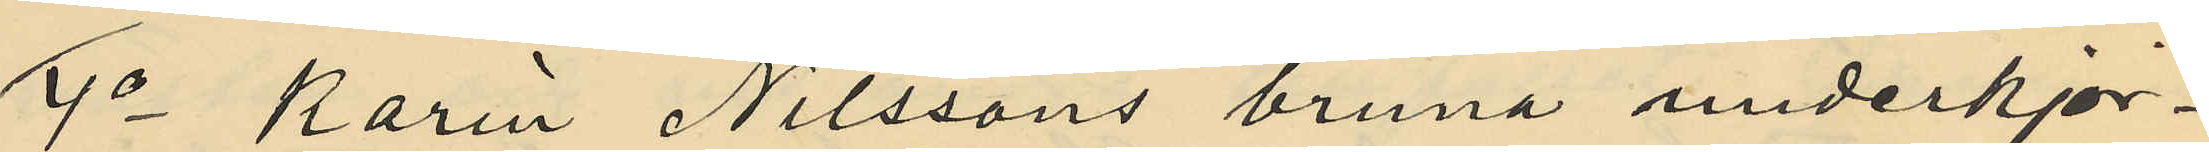4o Karin Nilssons bruna underkjor¬
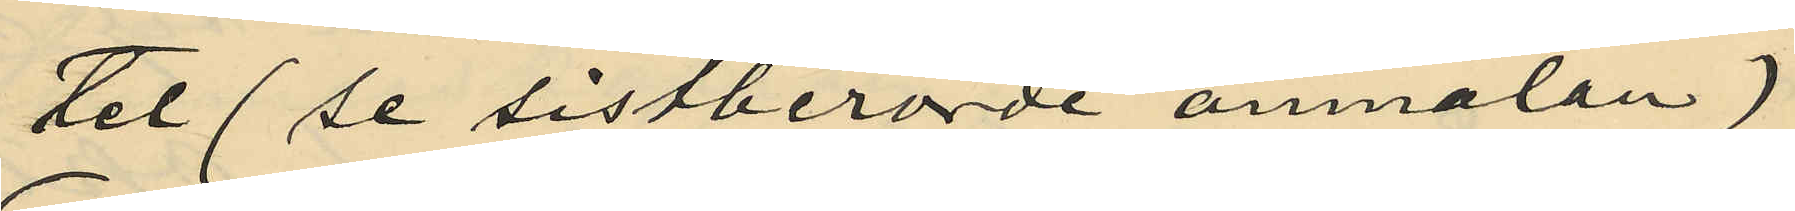tel (se sistberörde anmälan)
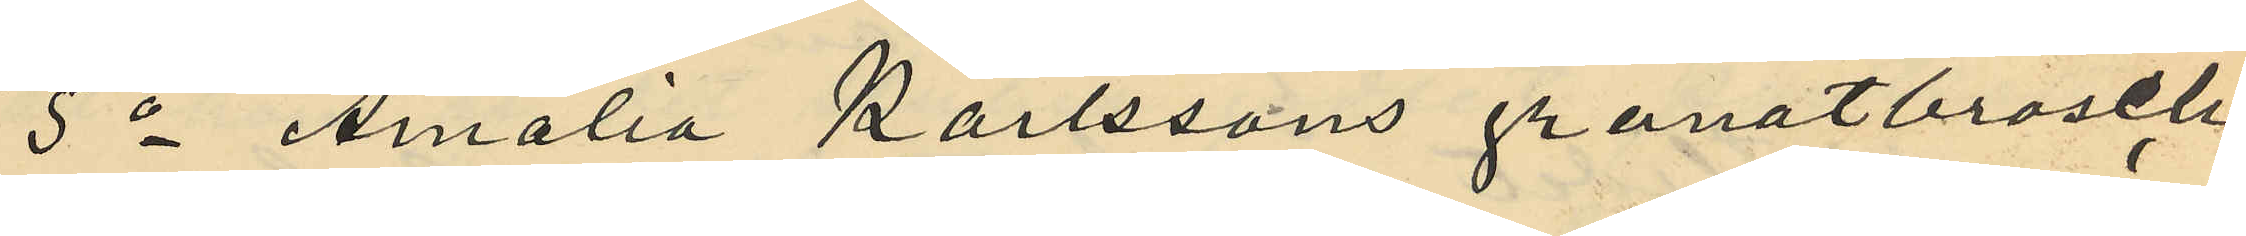5o Amalia Karlssons granatbrosch
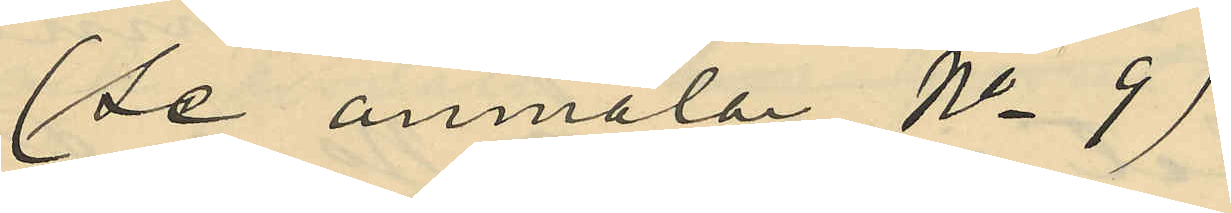(se anmälan No 9)
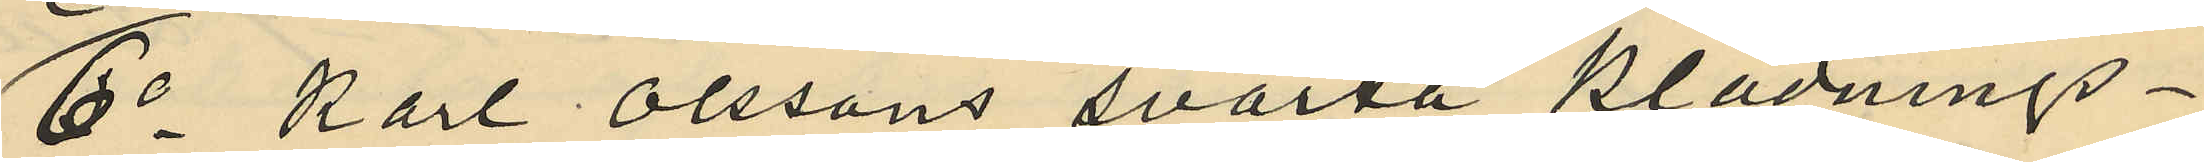6o Karl Olssons svarta klädnings¬
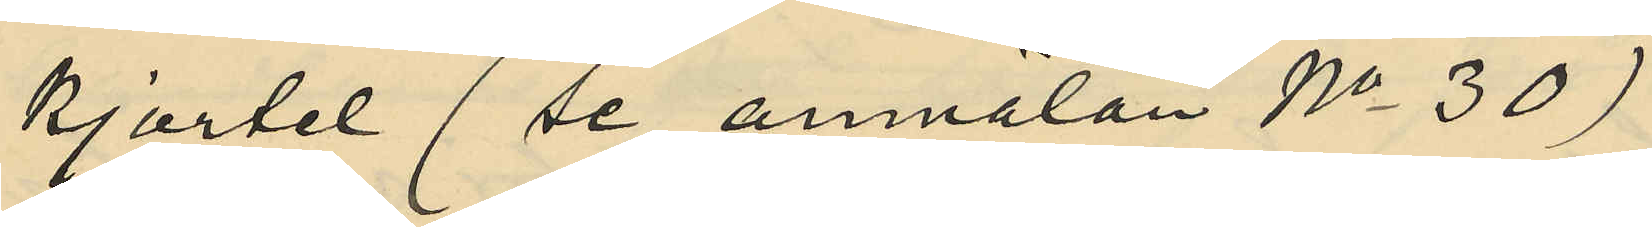kjortel (se anmälan No 30)
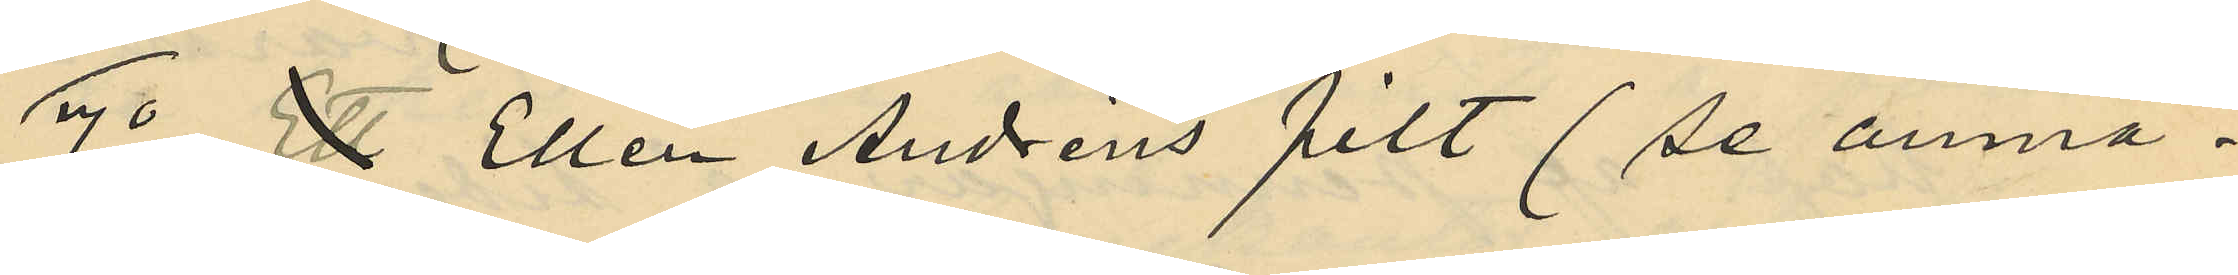9o  Ellen Andréns filt (se anmä¬
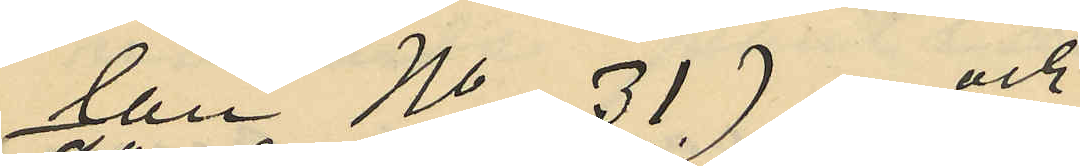lan No 31) och
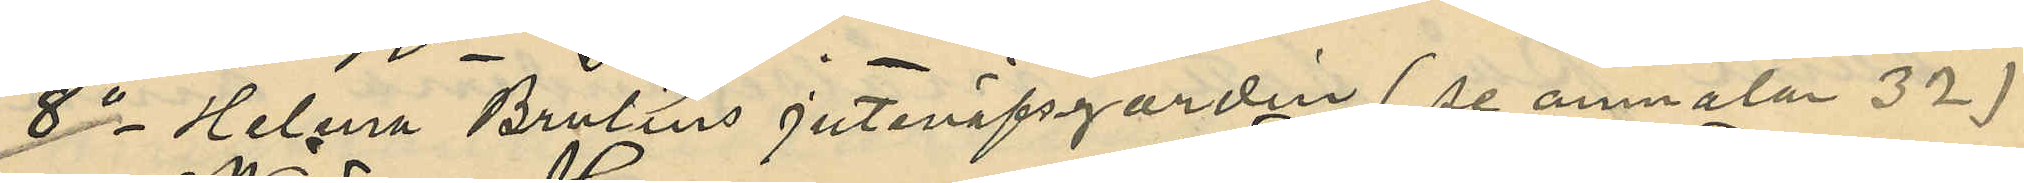2o Helena Brulins Juteväfsgardin (se anmäla 32)
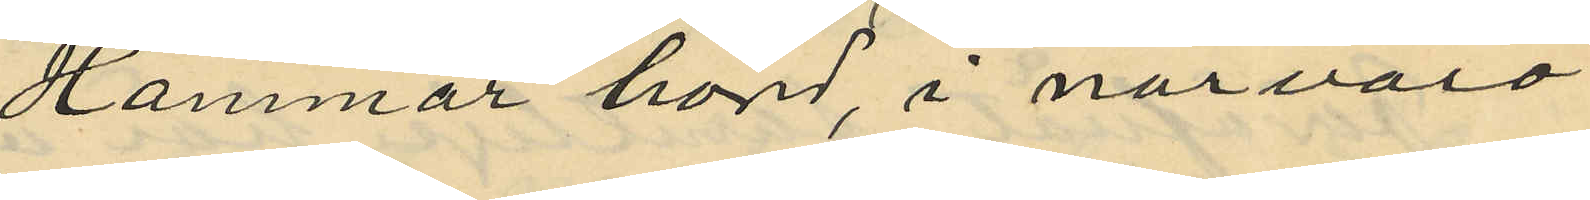Hammar hörd, i närvaro
